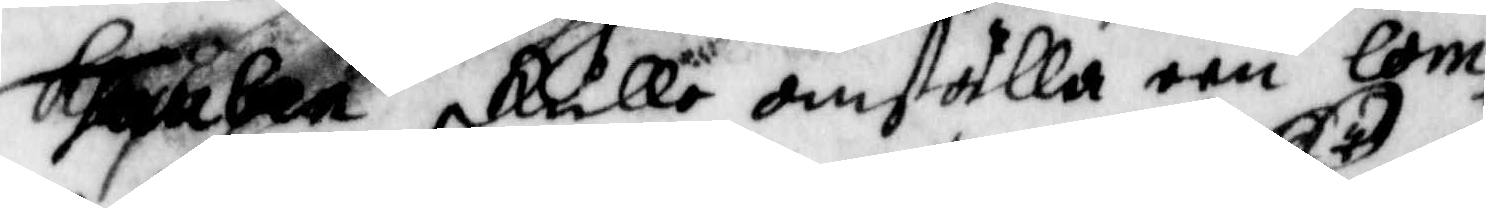skulle anställa een om¬
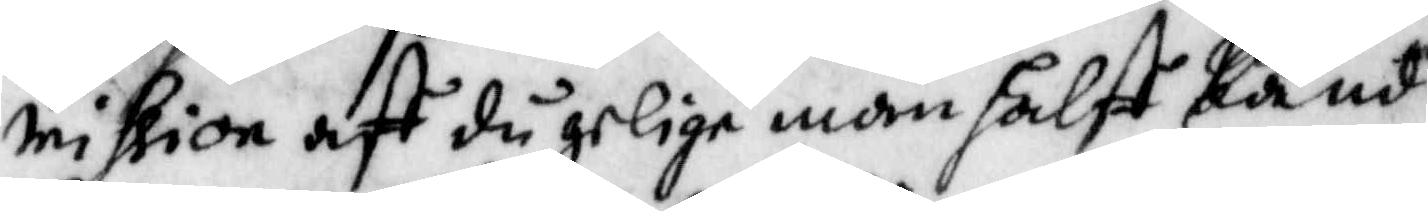mission aff då gelige män halft kände
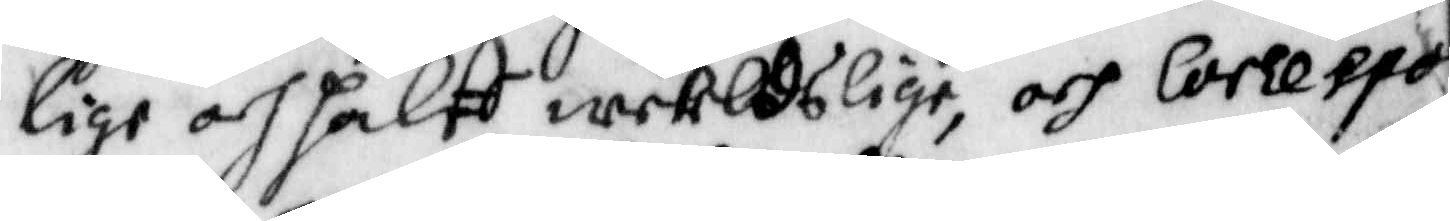lige och halft werldslige, och corespo
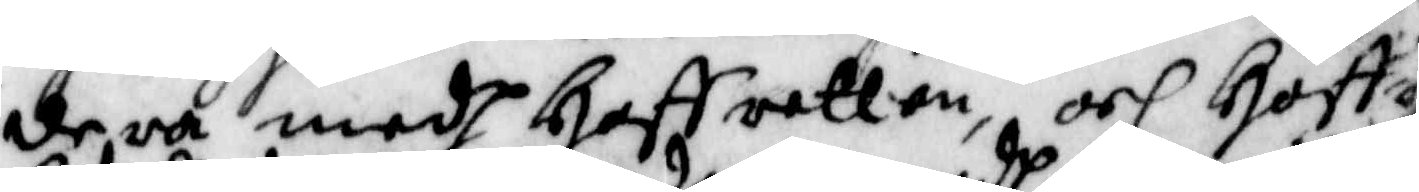de ra medh Hoffretten, och Hoffr
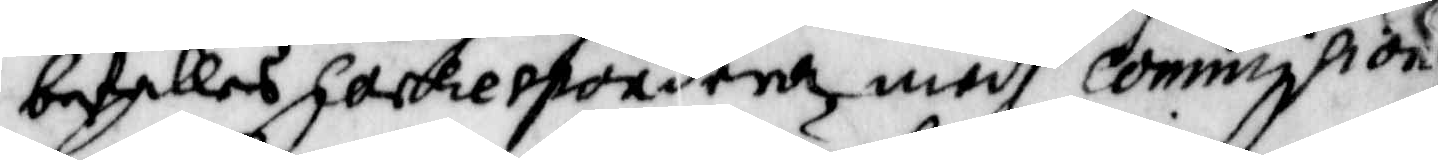befalles Corespondera medh Commission
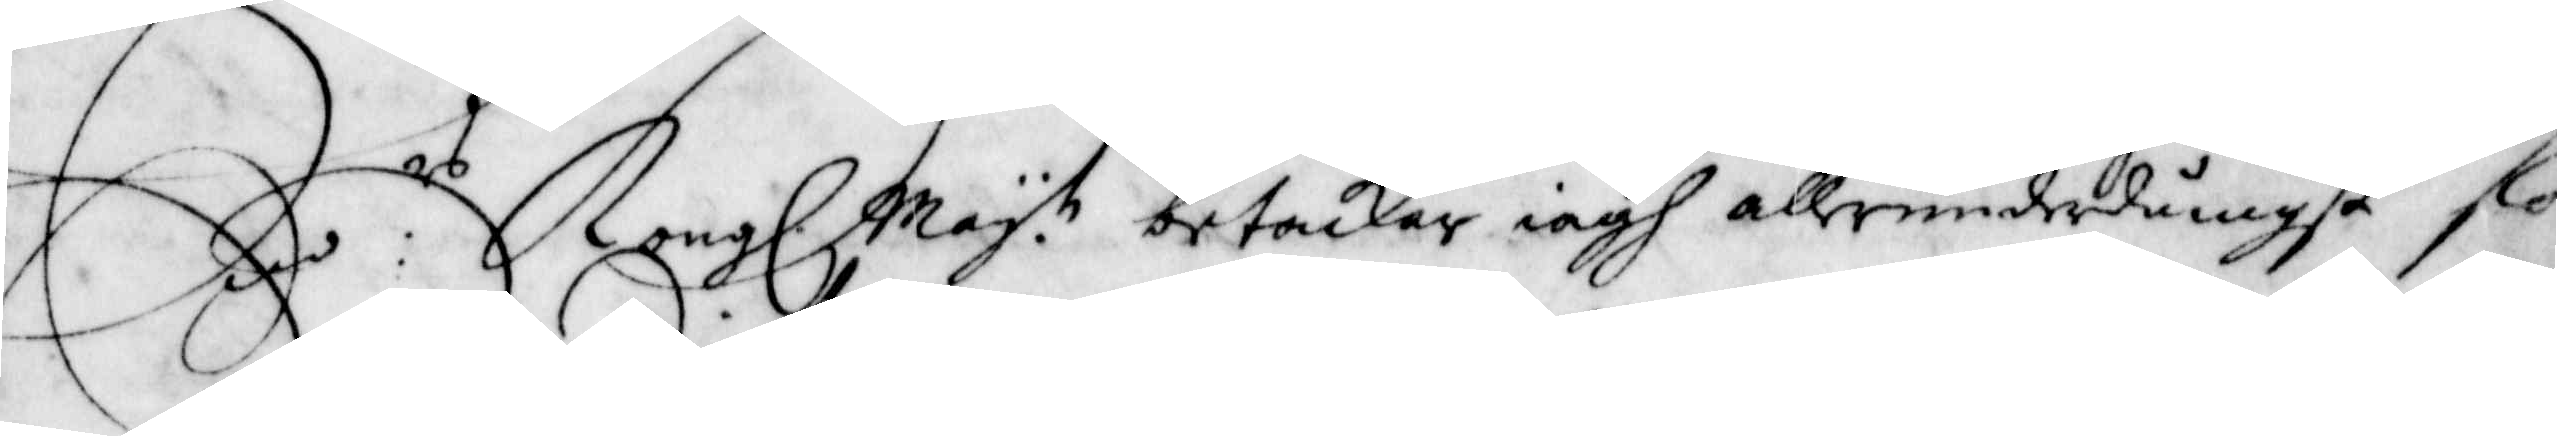E:rs Kongl. May.t betackar iagh allerunderdånigst flo
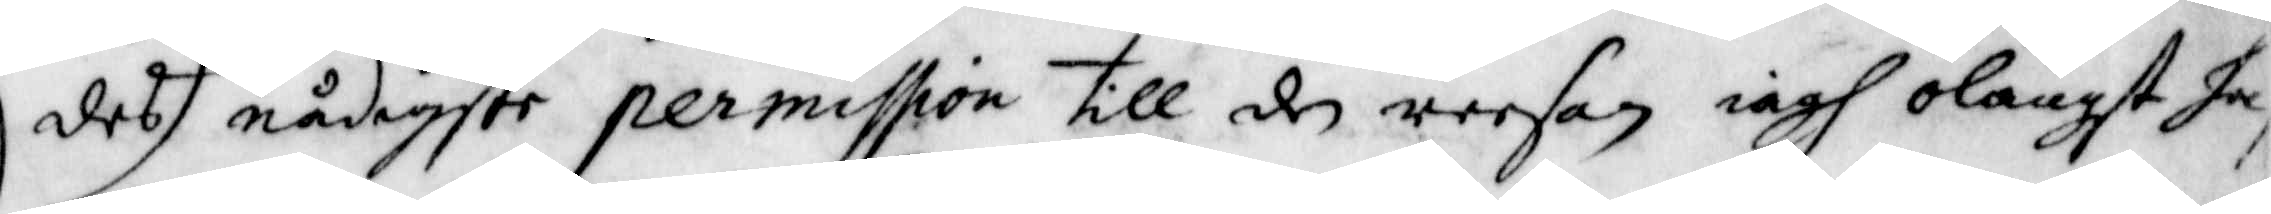des nådigste permission till den reesan iagh olängt ha
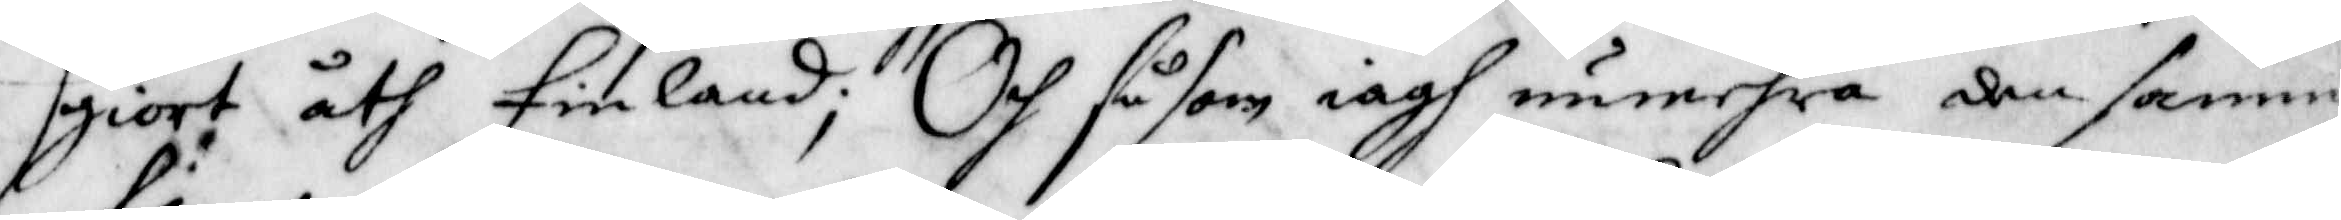giort åth Finland; Och såsom iagh numehra den samma
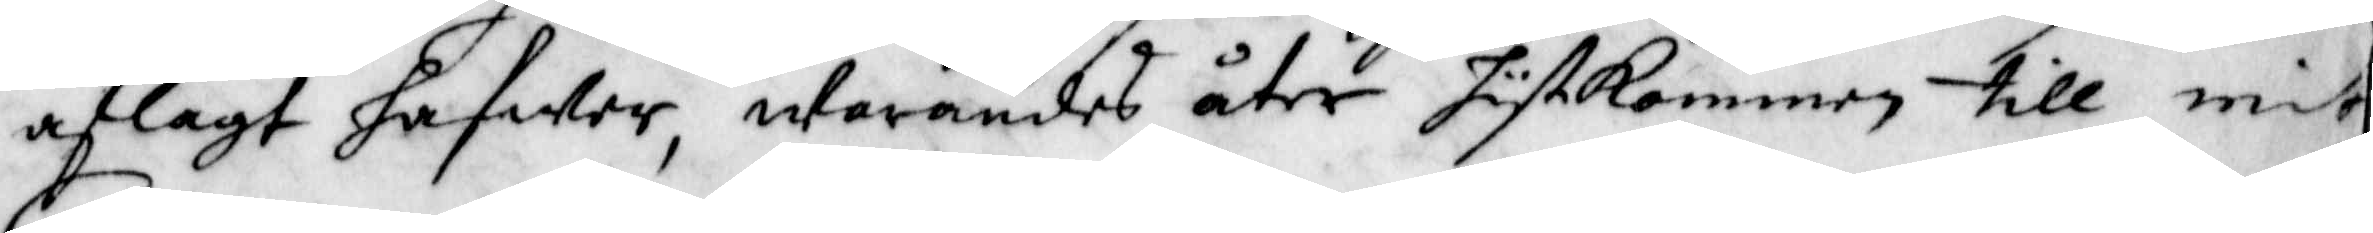aflagdt hafwer, warandes åter hytkommen till mitt
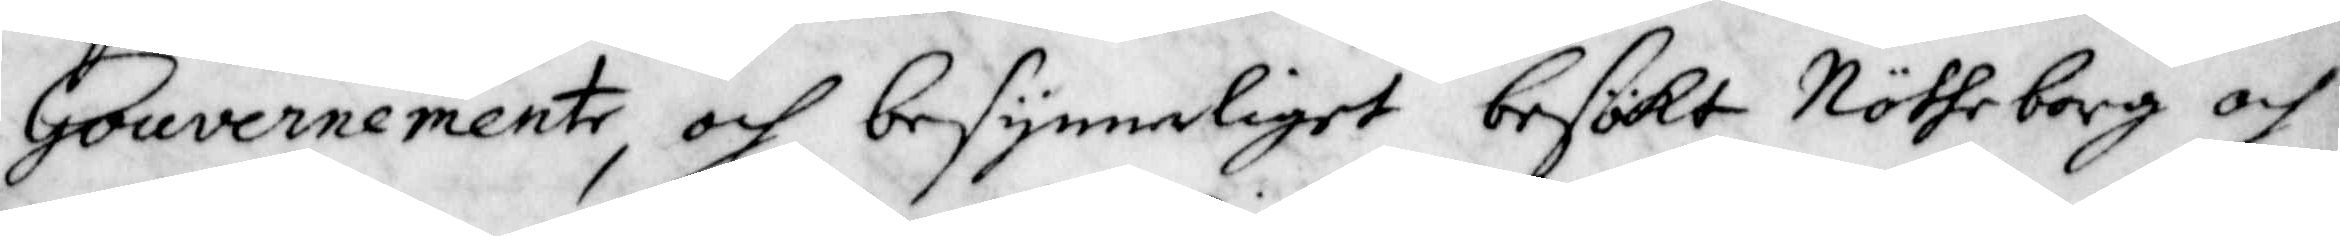Gouvernemente, och besynnerliget besökt Nötheborg och
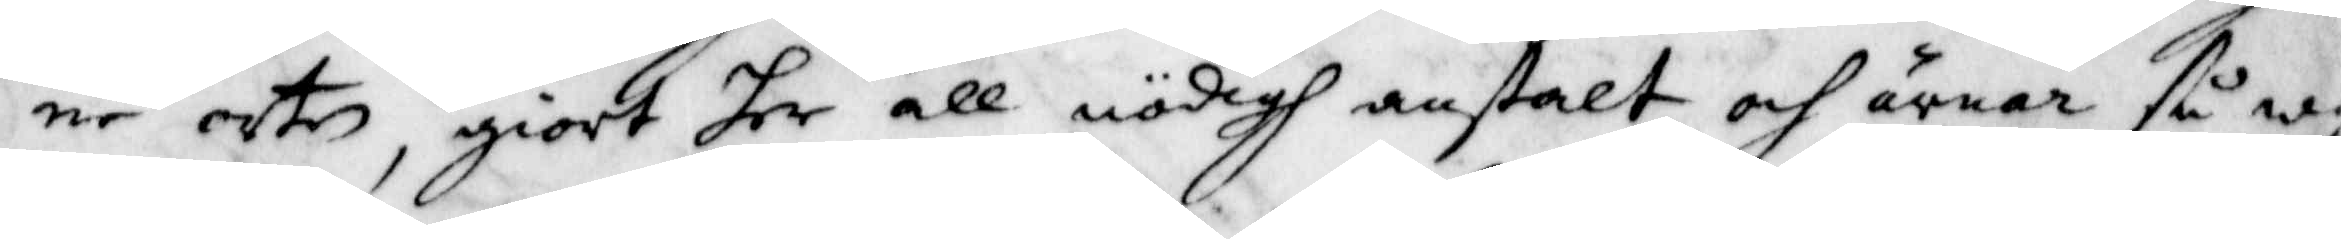ne orten, giort her all nödigh anstalt, och ärnar så wy
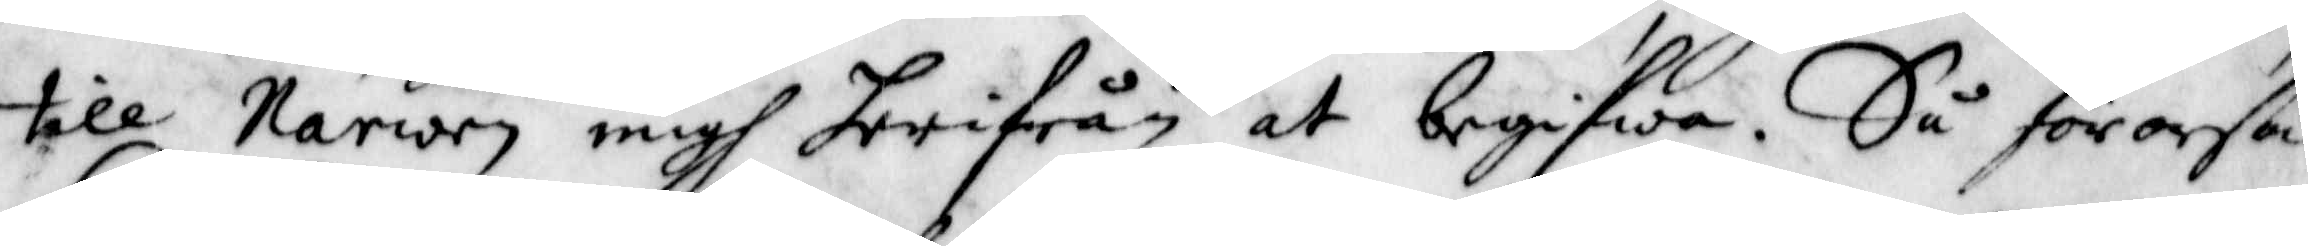till Narwen migh herifrån at begifwa. Så förorslå
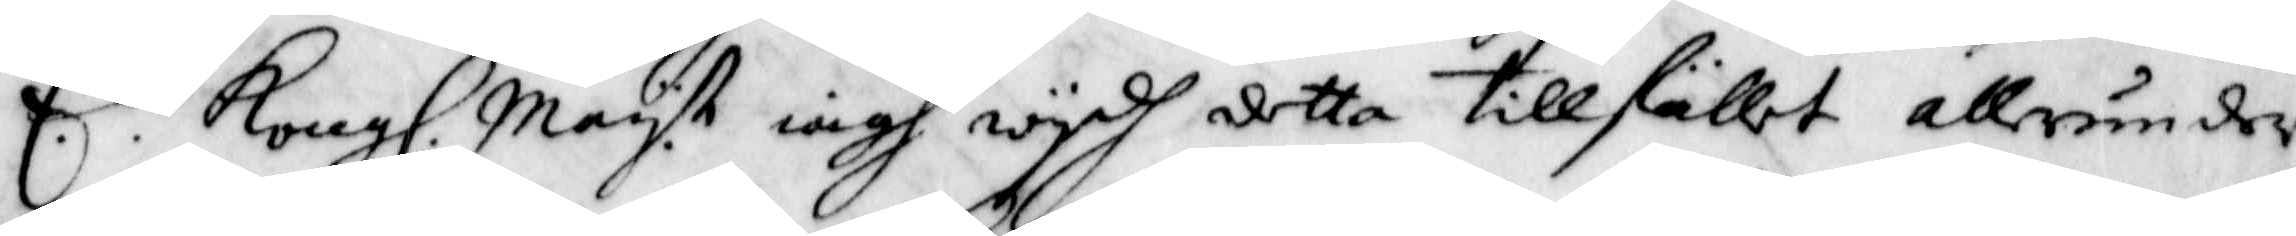E.rs Kongl. May.tt iagh wydh detta tillfället allrunder¬
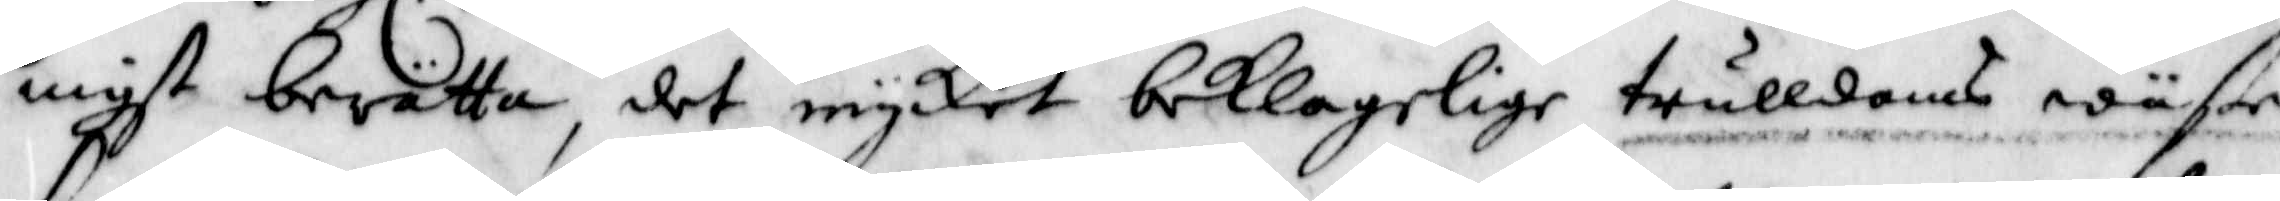myst berätta, det mycket beklagelige trulldoms wäsen
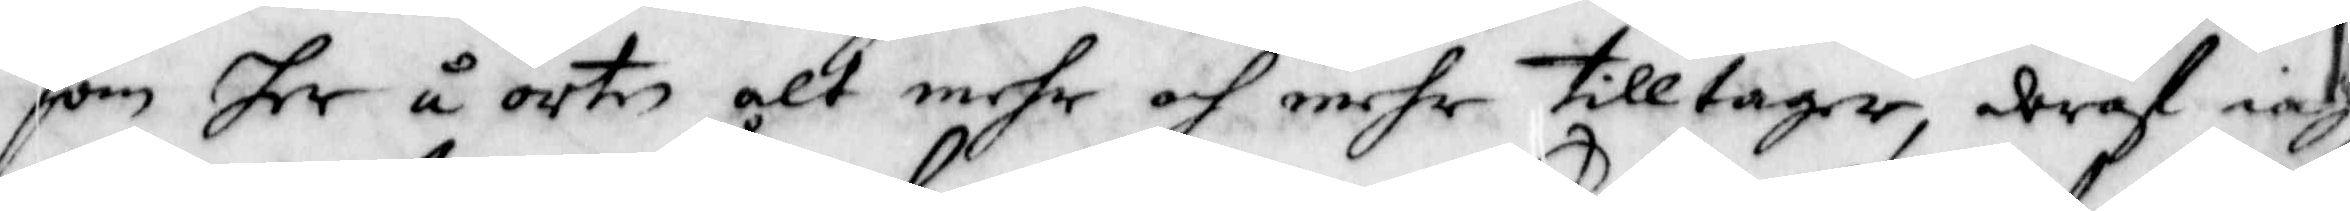som ter å orten alt mehr och mehr tilltager, drof iag
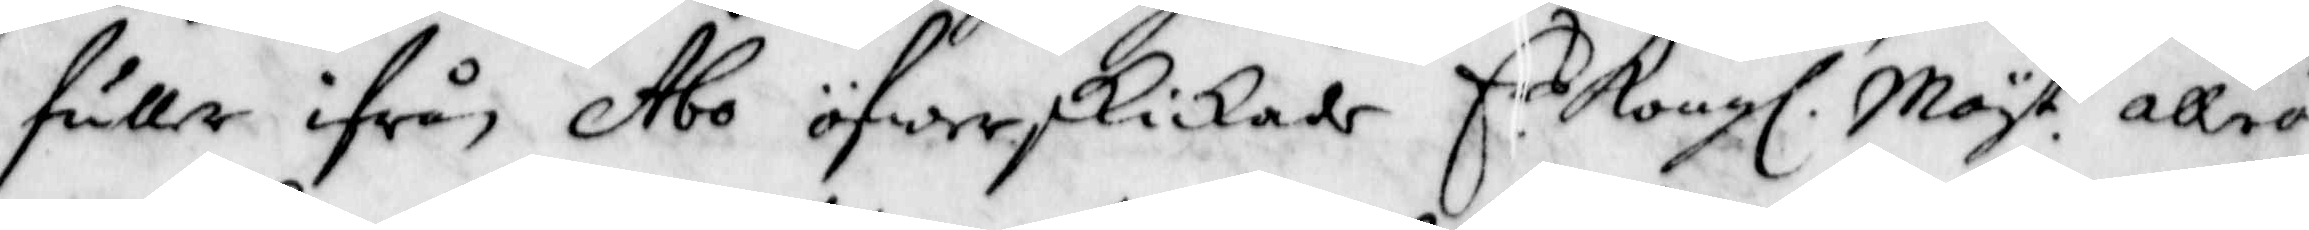fuller ifrån Åbo öfwerskickade E.rs Kongl. May.t alleö¬
